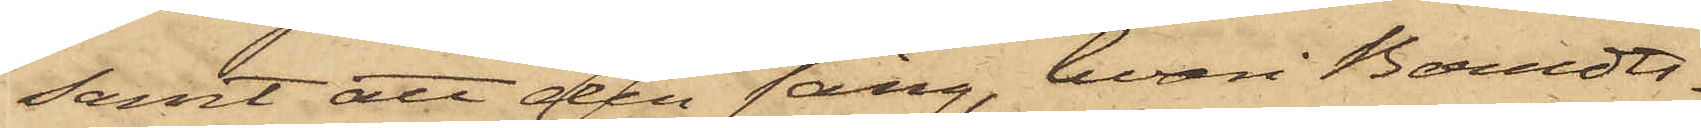samt att den säng, hvari Berndts¬
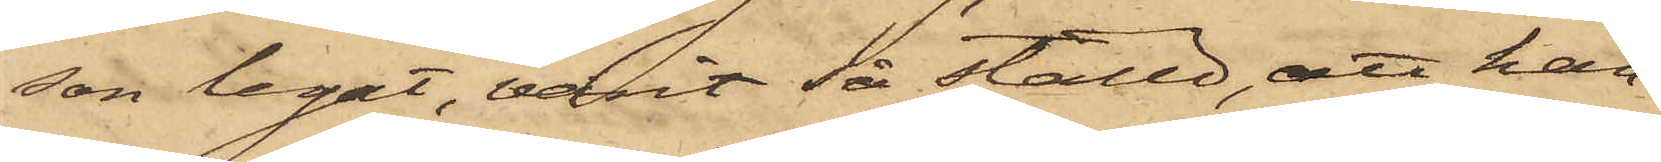son legat, varit så ställd, att han
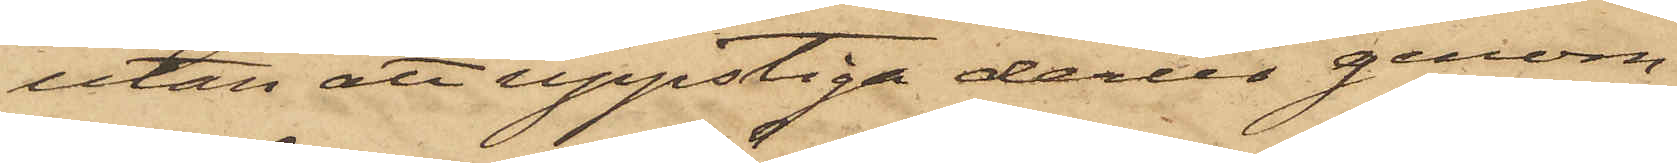utan att uppstiga derur genom
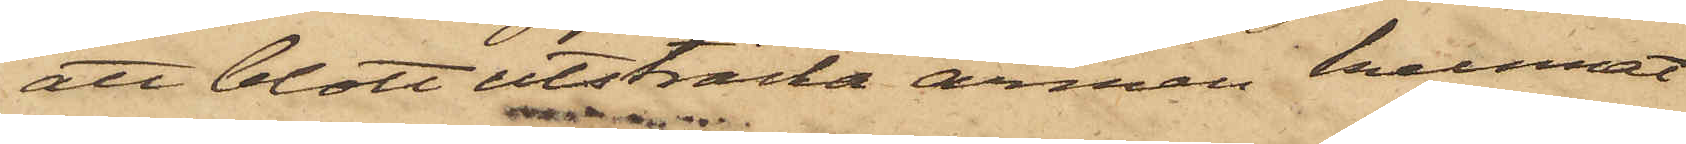att blott utsträcka armen kunnat
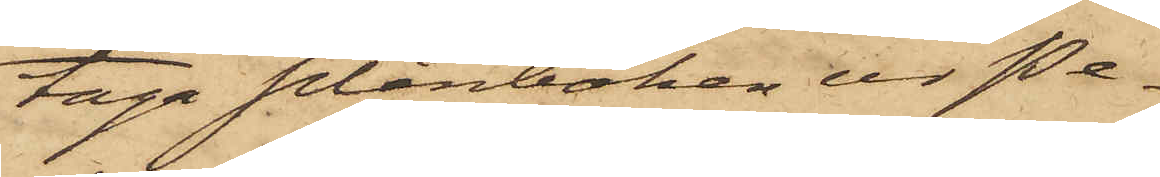taga plånboken ur Pe¬
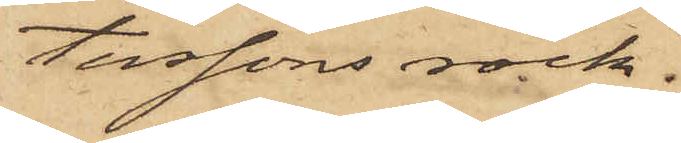terssons rock.
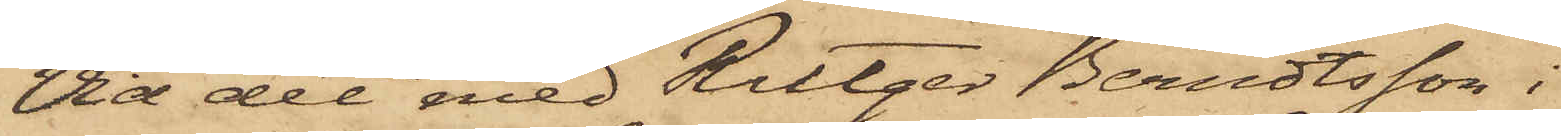Vid det med Rutger Berndtsson i
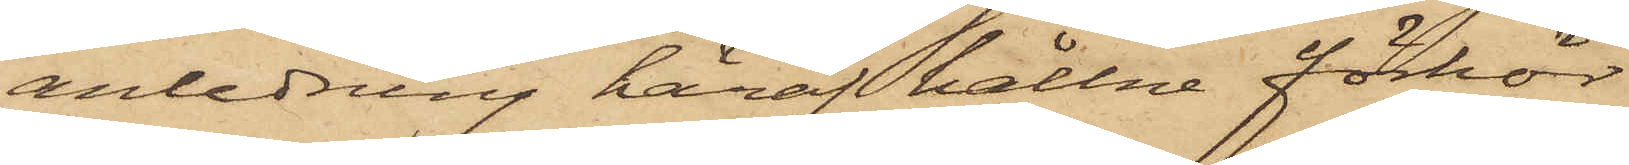anledning häraf hållne förhör
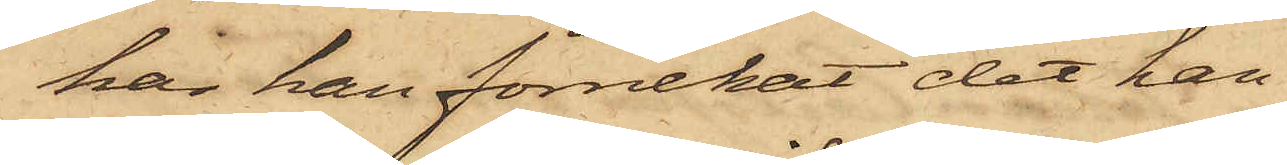har han förnekat det han
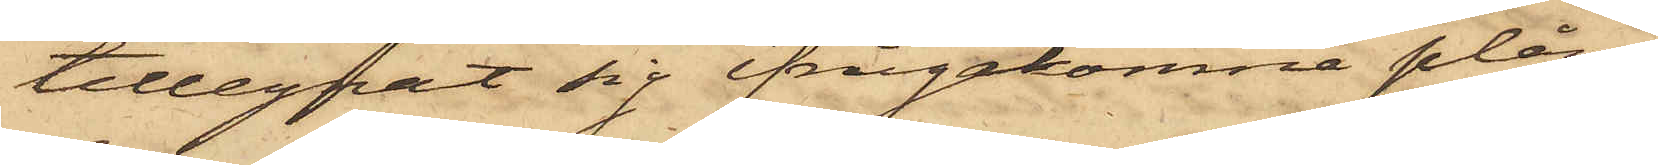tillegnat sig ifrågakomne plån¬
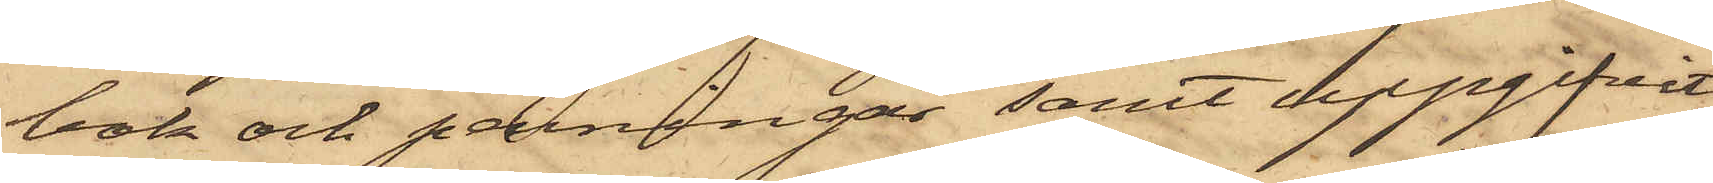bok och penningar samt uppgifvit,
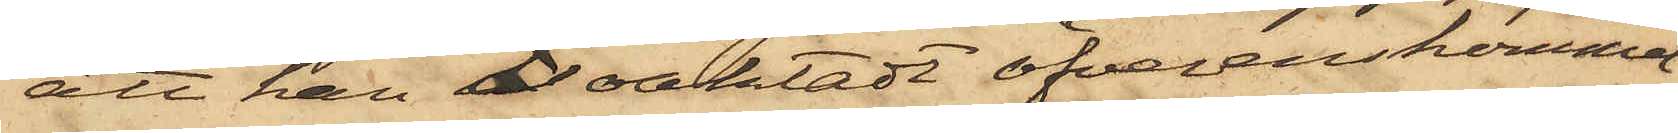att han oaktadt öfverenskommel¬
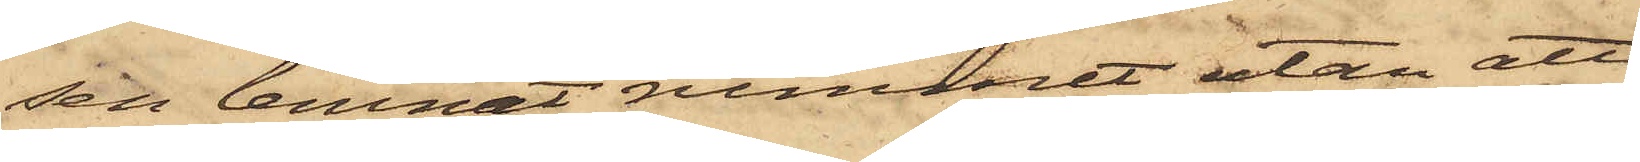sen lemnat rummet utan att
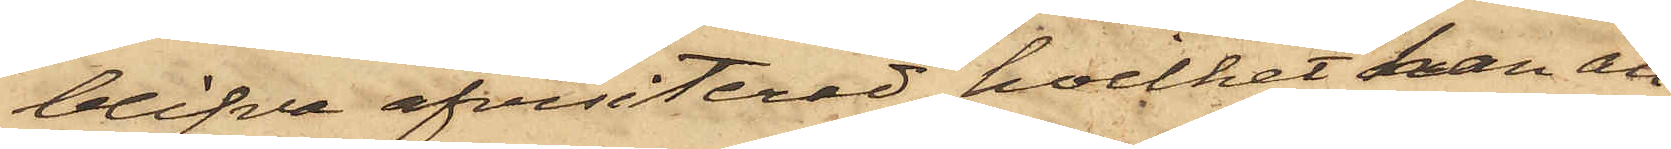blifva afvisiterad, hvilket han an¬
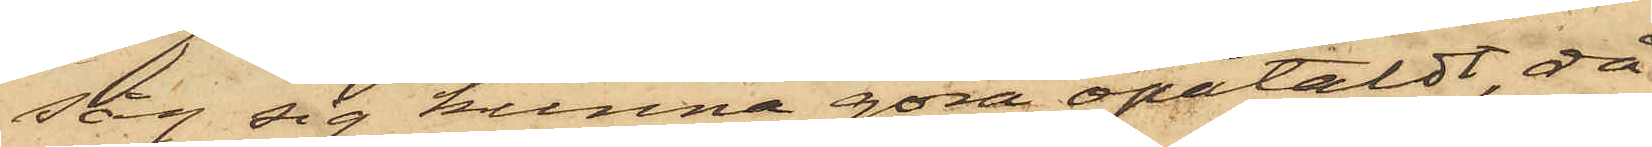såg sig kunna göra opåtaldt, då
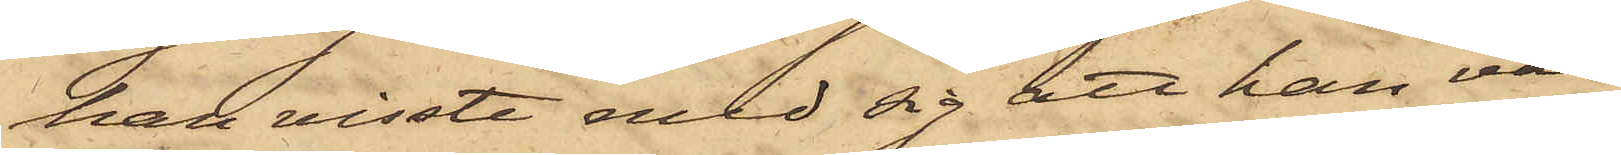han visste med sig att han var
